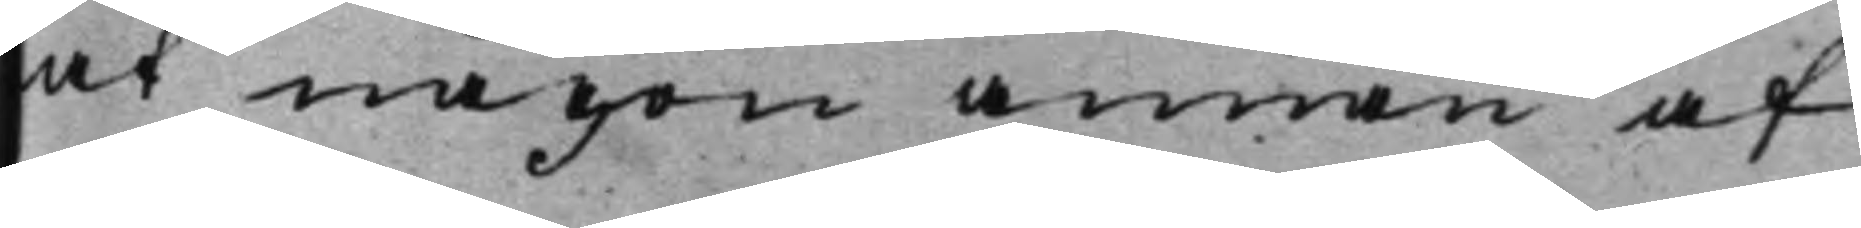at någon annan af
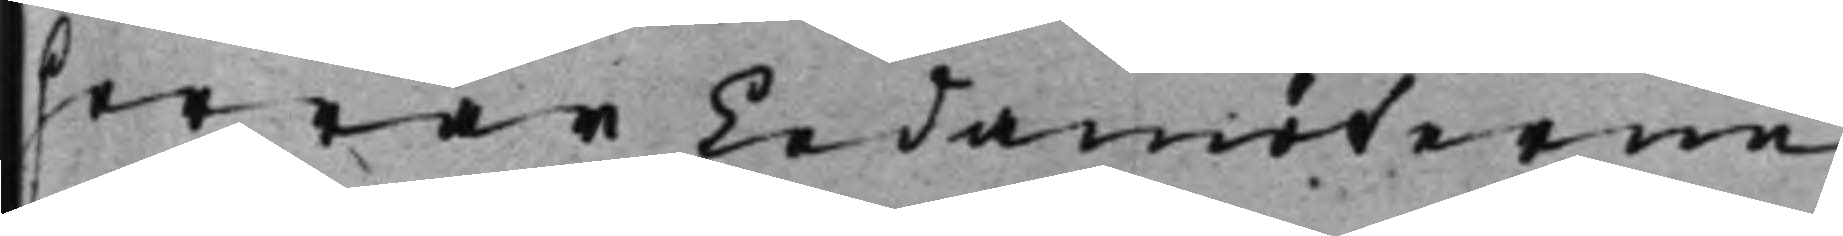Herrar Ledamöterne
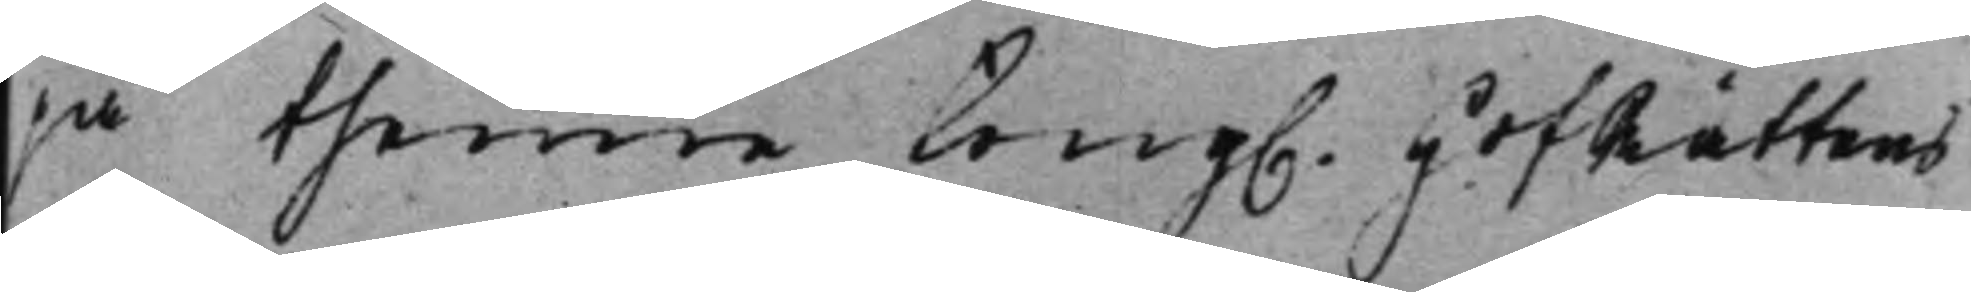pa thenne Kong. HofRättens
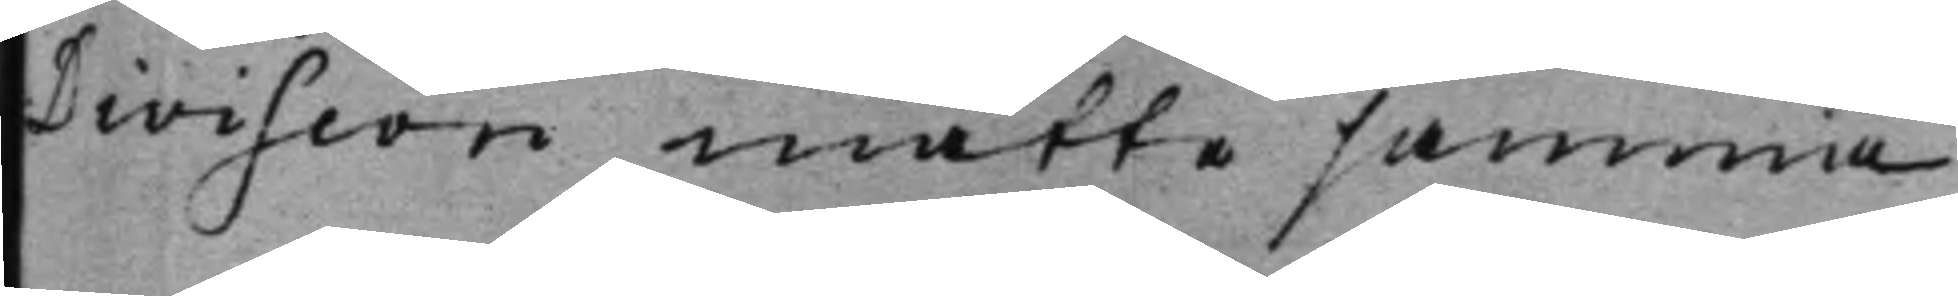Division måtte samma
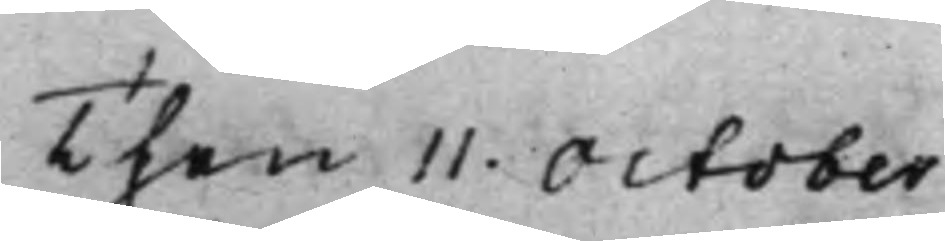Then 11. October
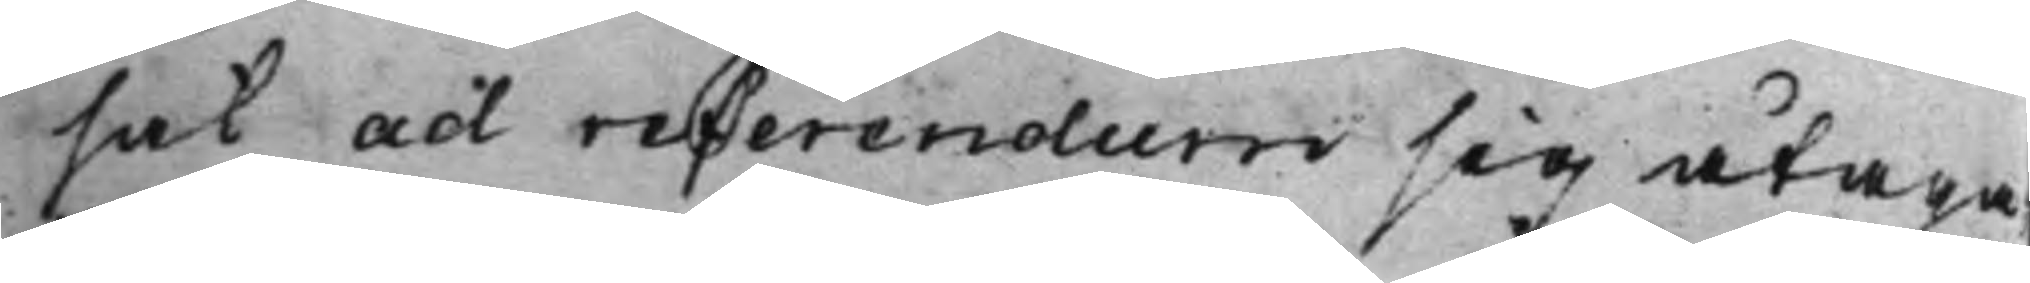sak ad referendum sig åtaga,
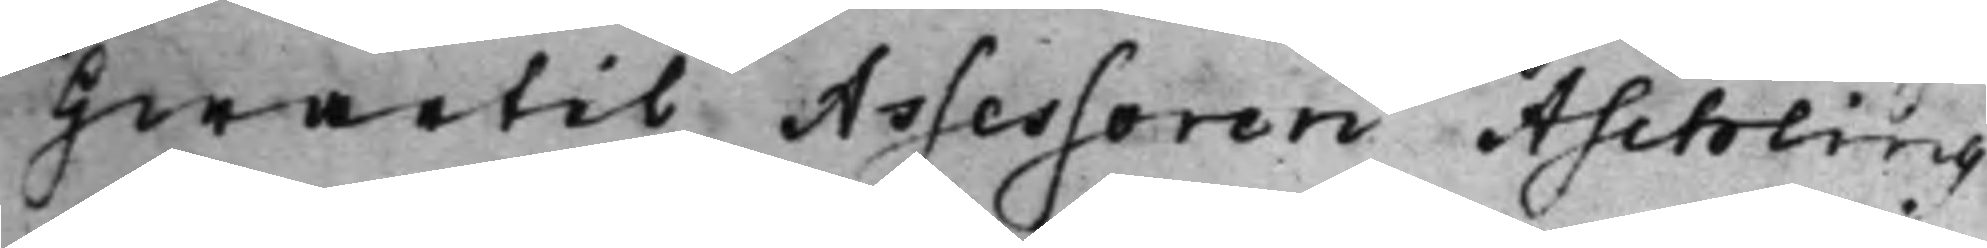hwartil Assessoren Aschling
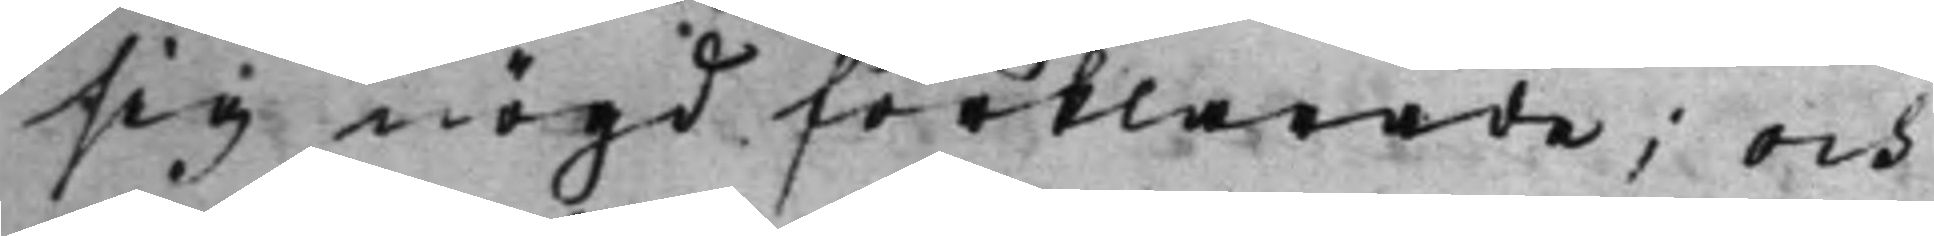sig nögd förklarade; och
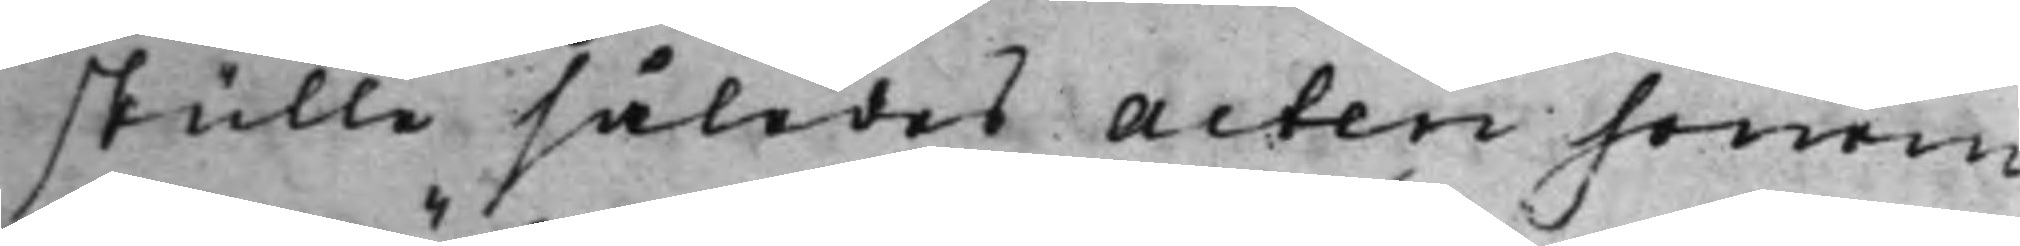skulle således Acten honom
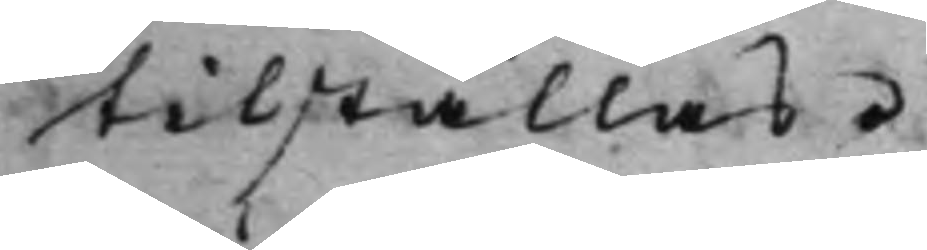tilställas.
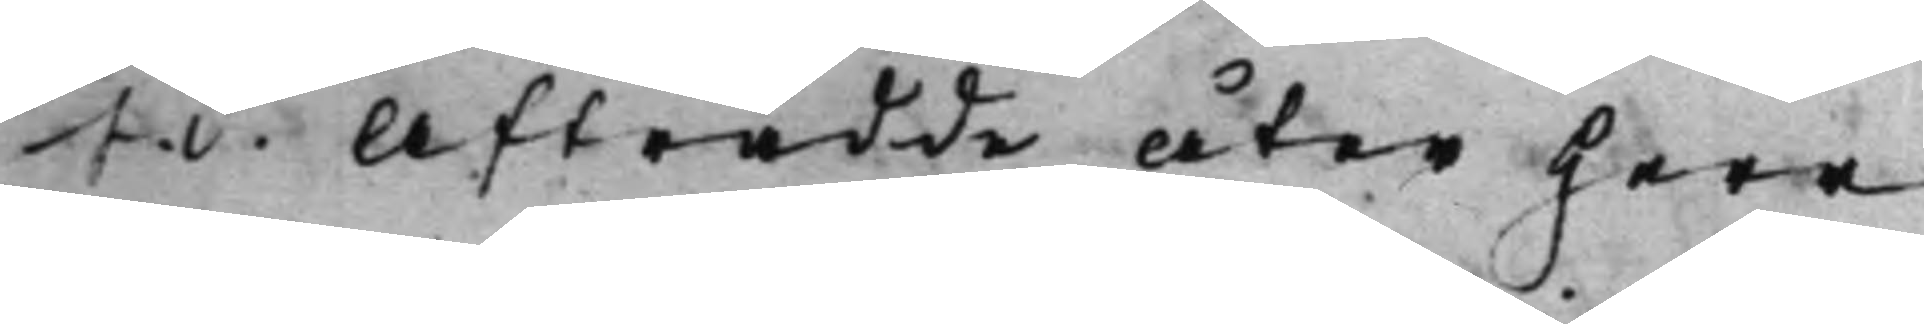S. d. Afträdde åter Herr
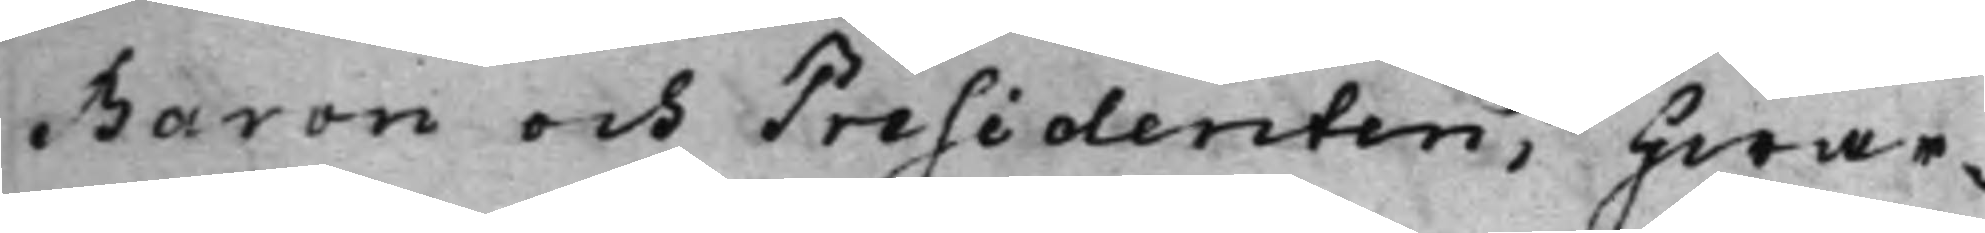Baron och Presidenten; Hwar¬
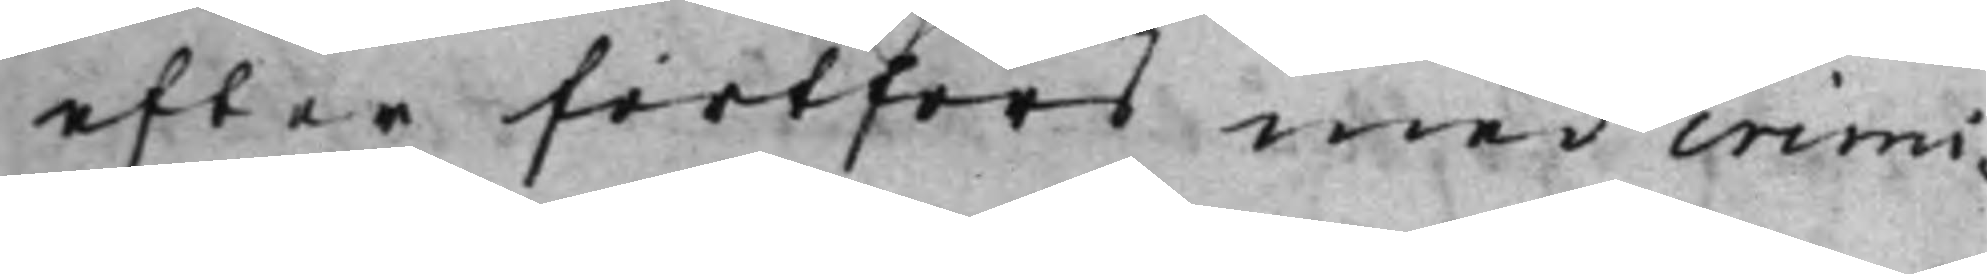efter fortfors med crimi¬
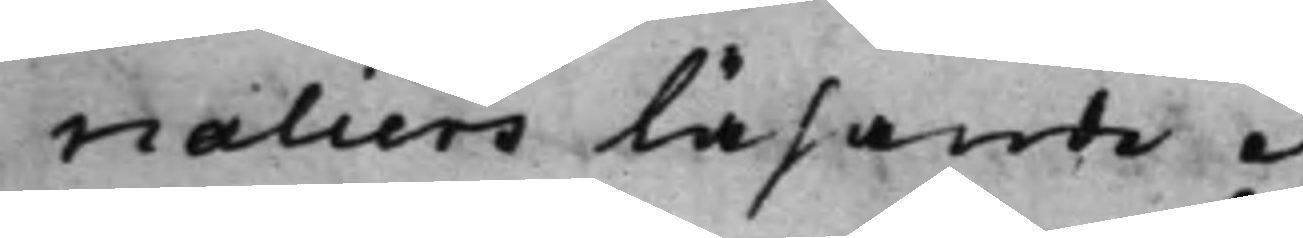naliers läsande.
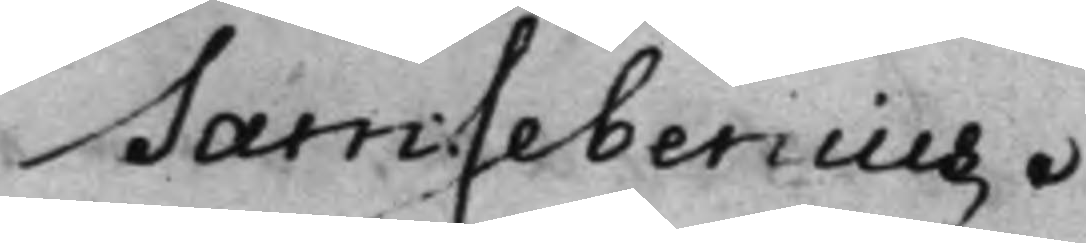Sam: Sebenius.
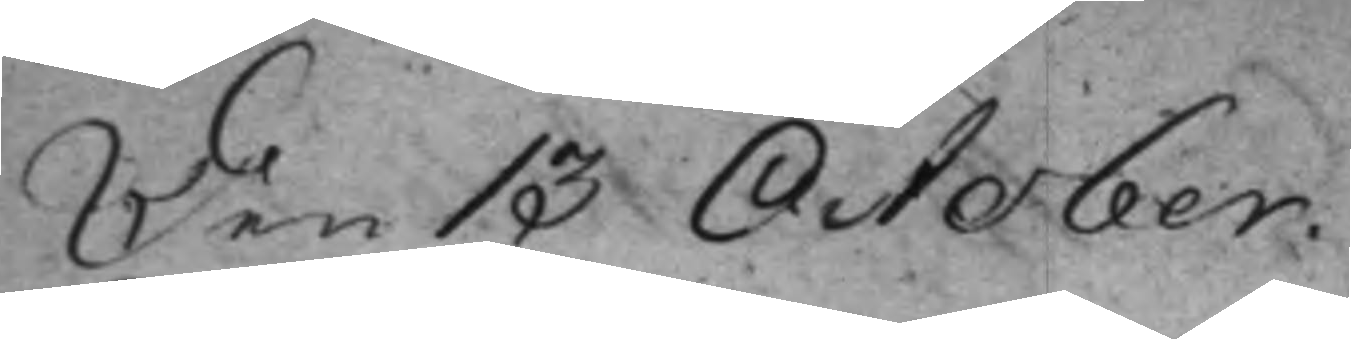Den 13 October.
